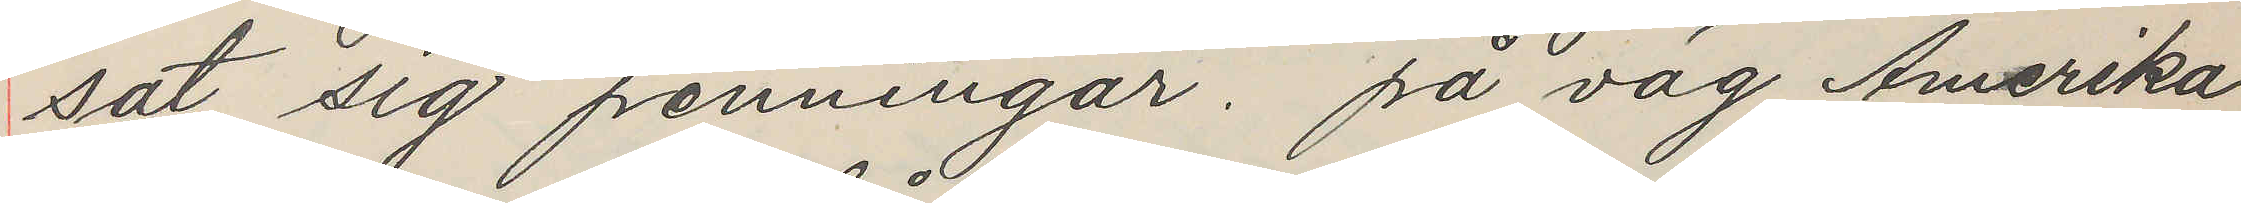sat sig penningar. på väg Amerika
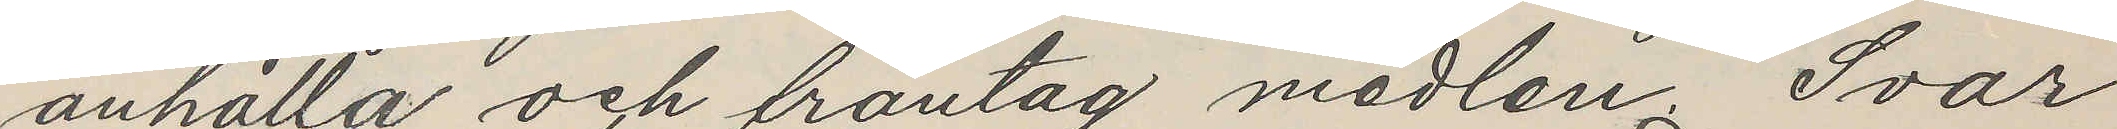anhålla och fråntag medlen. Svar
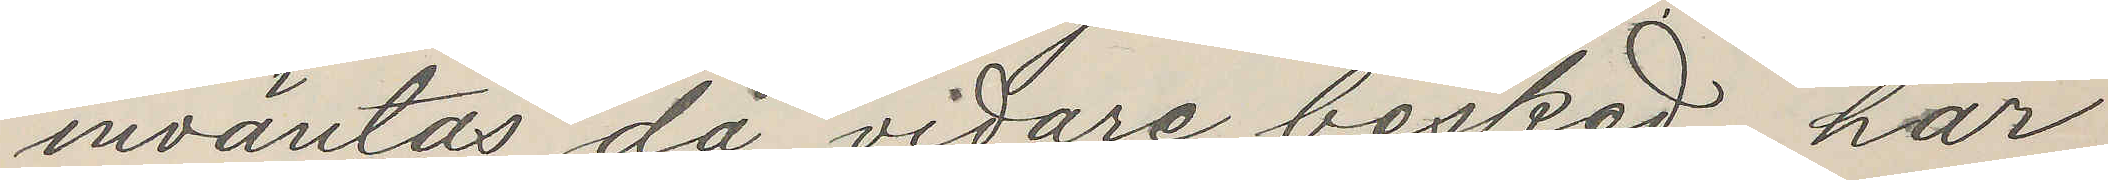inväntas då vidare besked. har
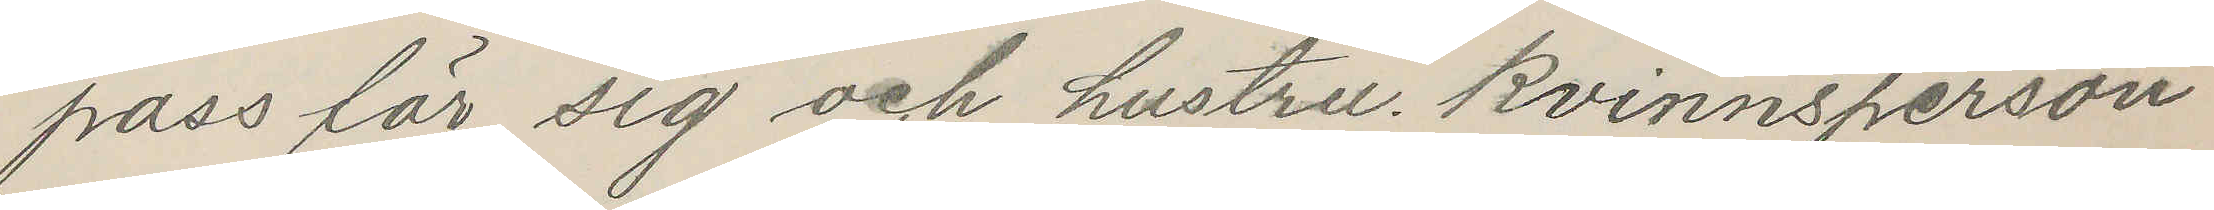pass för sig och hustru. kvinnsperson
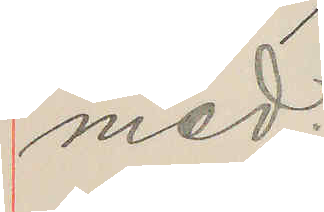med.
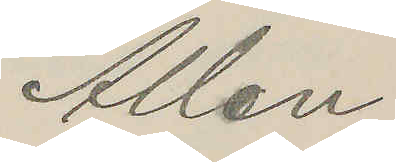Allan
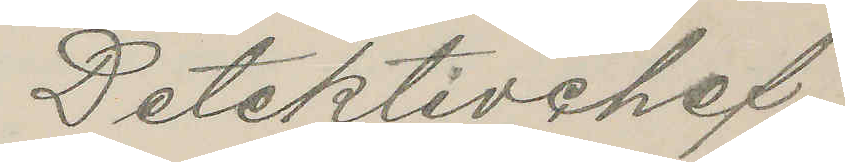Detektivchef
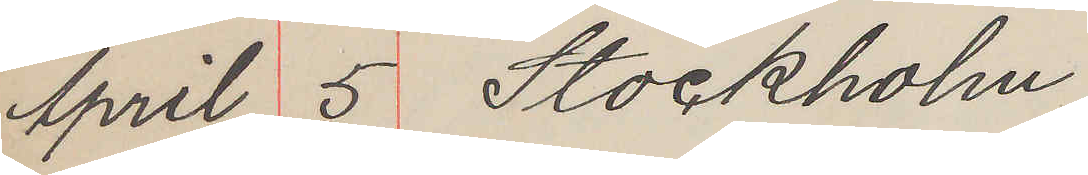April 5 Stockholm
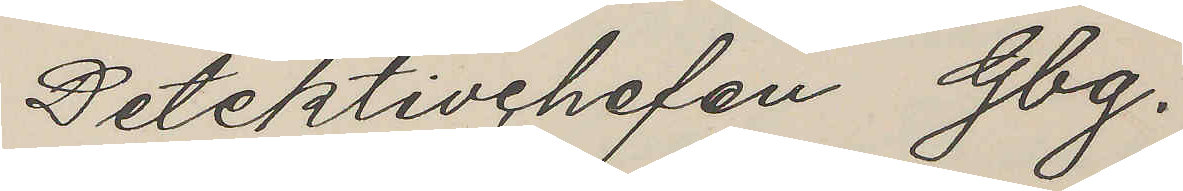Detektivchefen Gbg.
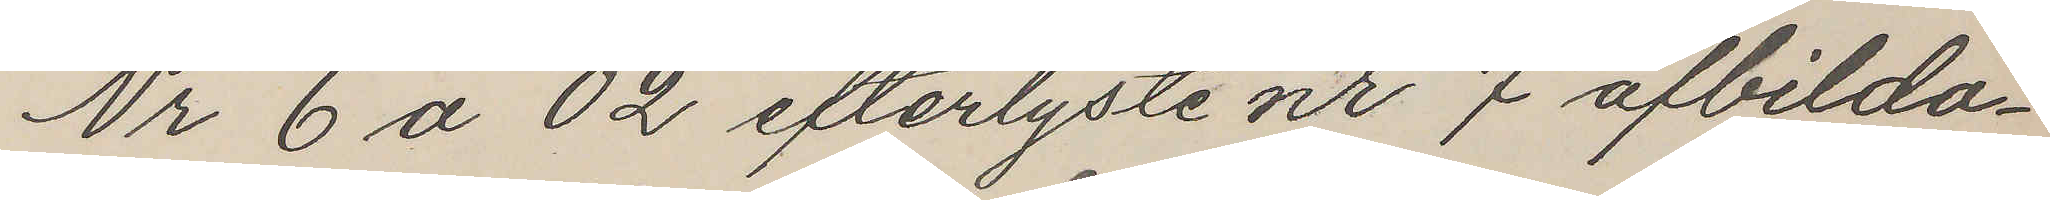Nr 6 a 02 efterlyste nr 7 afbilda¬
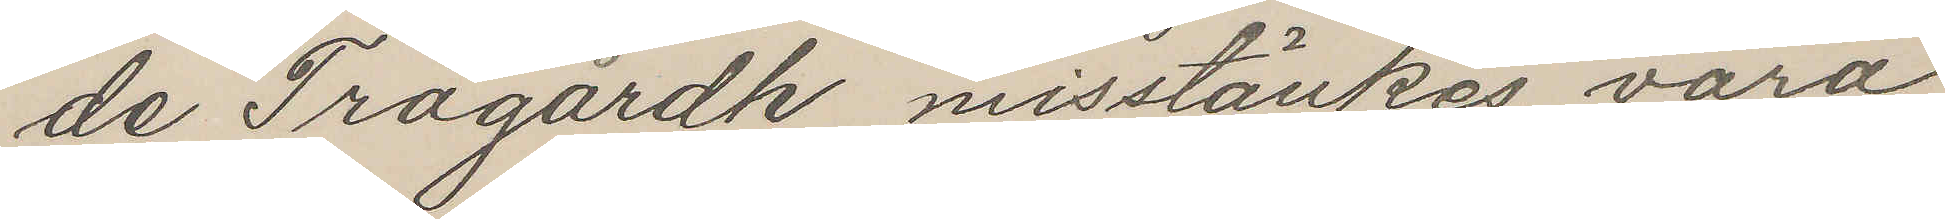de Trägårdh misstänkes vara
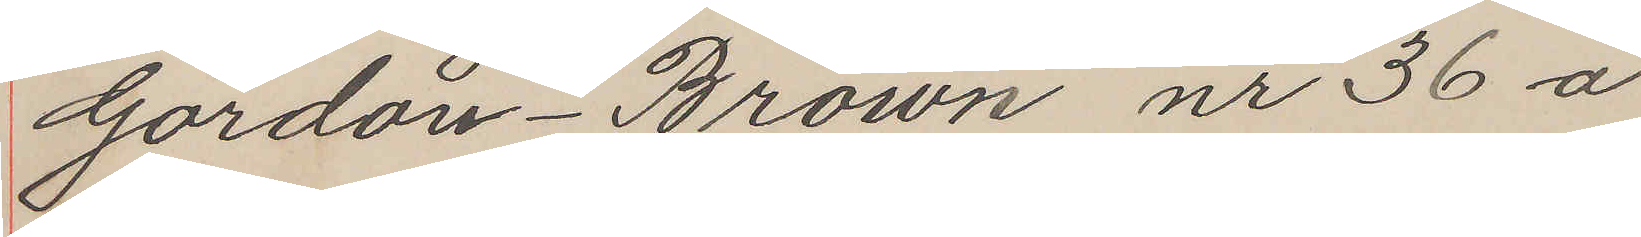Gordon - Brown nr 36 a
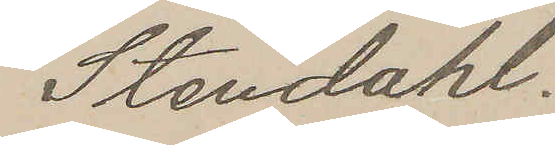Stendahl.
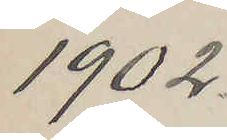1902
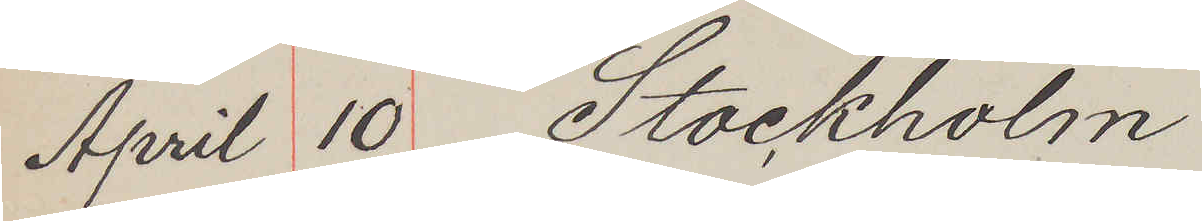April 10 Stockholm
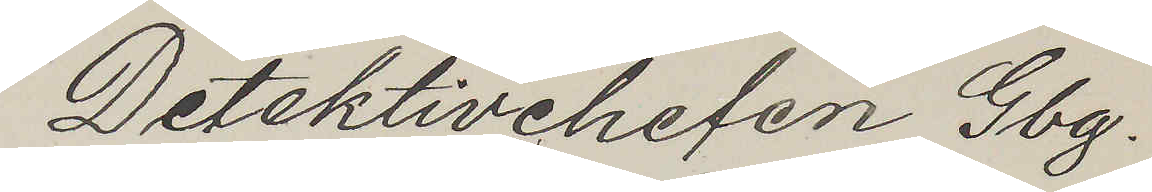Detektivchelen Gbg.
